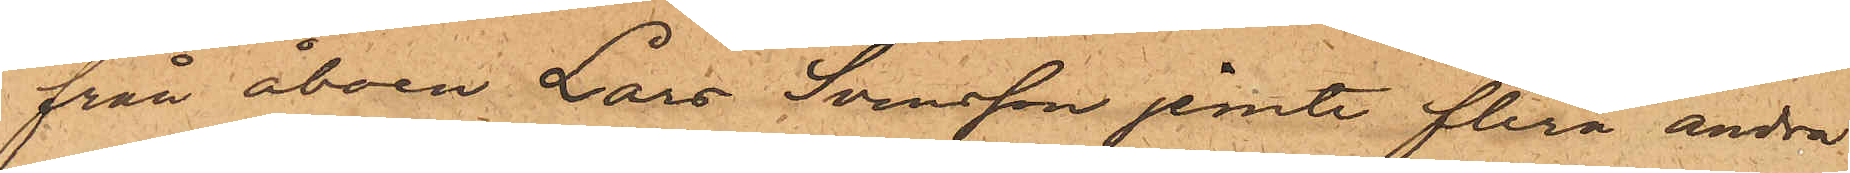från åboen Lars Svensson jemte flera andra
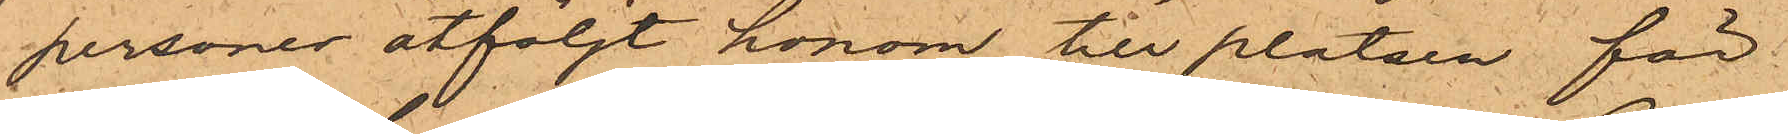personer åtföljt honom till platsen för
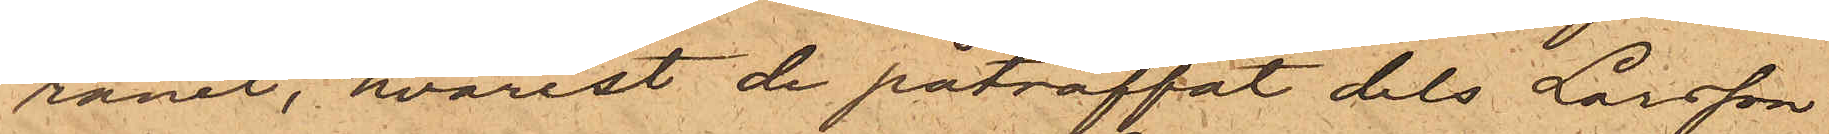rånet, hvarest de påträffat dels Larsson
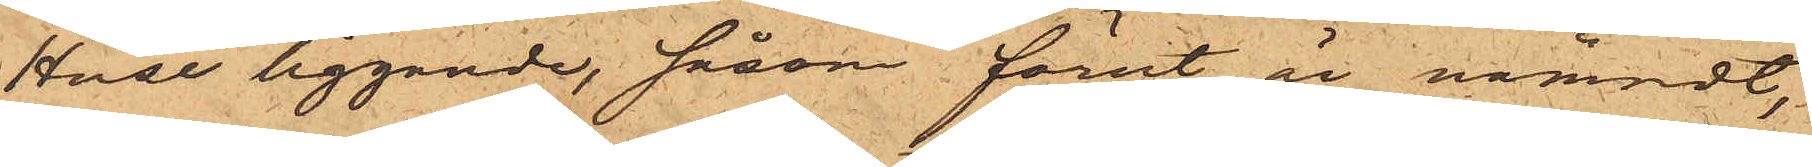Huse liggande, såsom förut är nämndt,
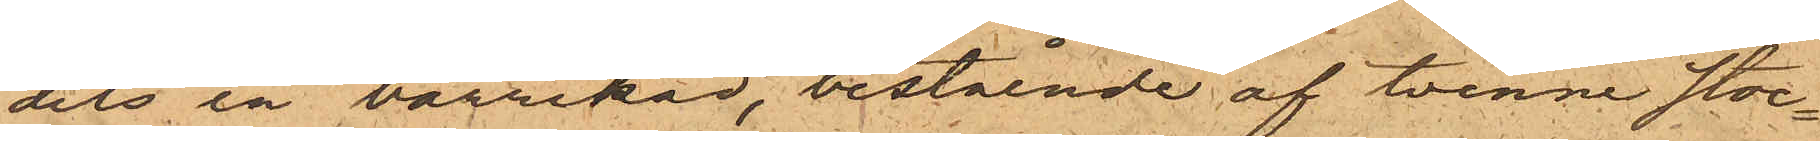dels en barrikad, bestående af tvenne stoc¬
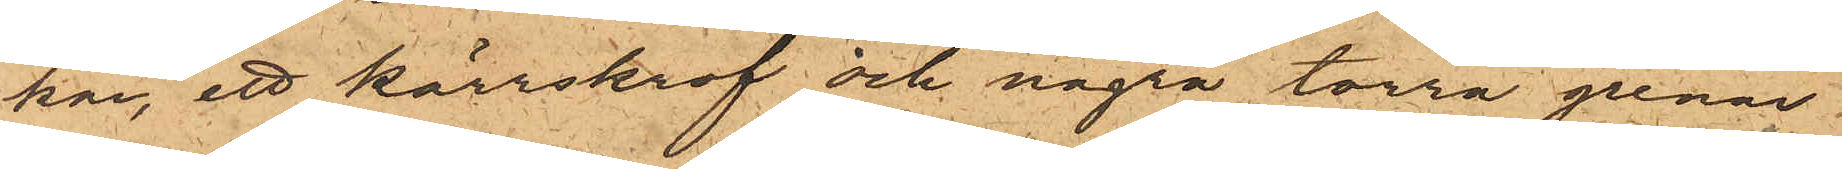kar, ett kärrskrof och några torra grenar
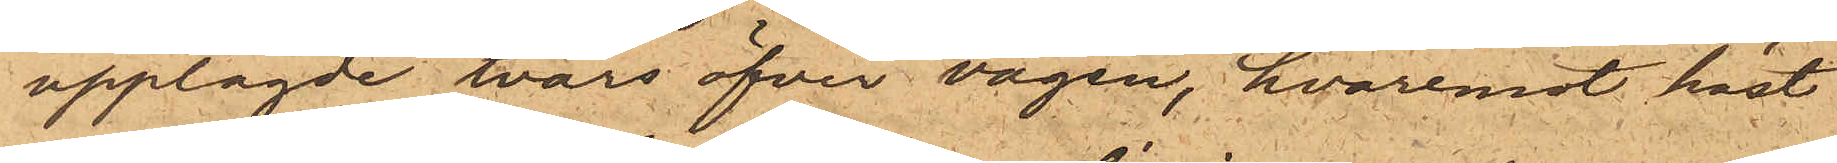upplagde tvärs öfver vägen, hvaremot häst
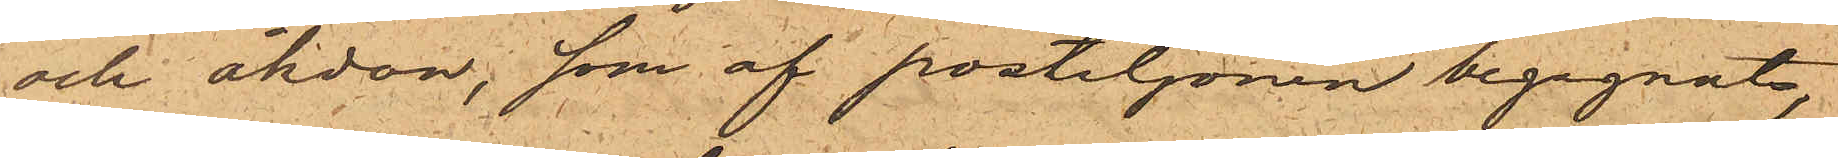och åkdon, som af postiljonen begagnats,
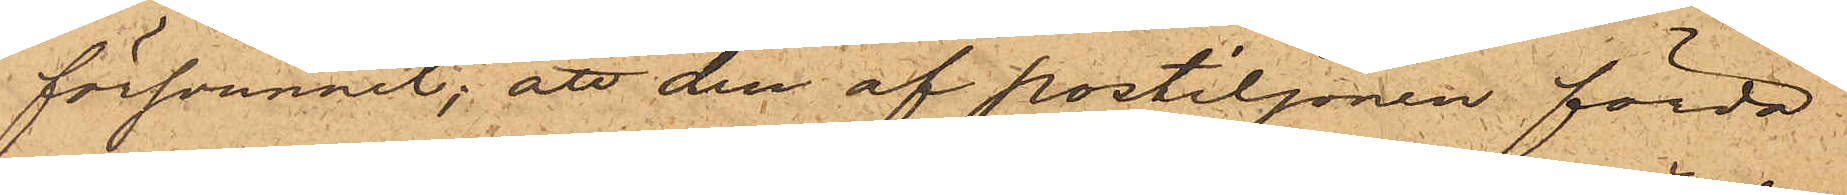försvunnit; att den af postiljonen förda
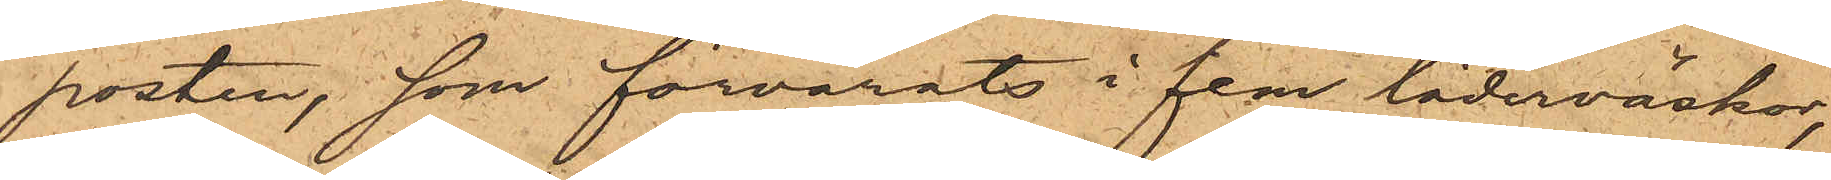posten, som förvarats i fem läderväskor,
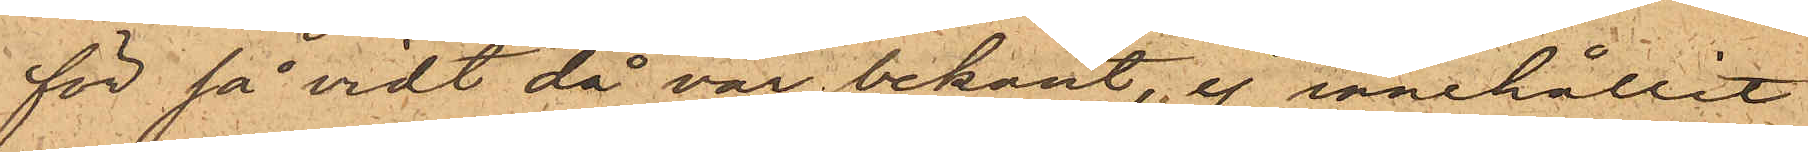för så vidt då var bekant, ej innehållit
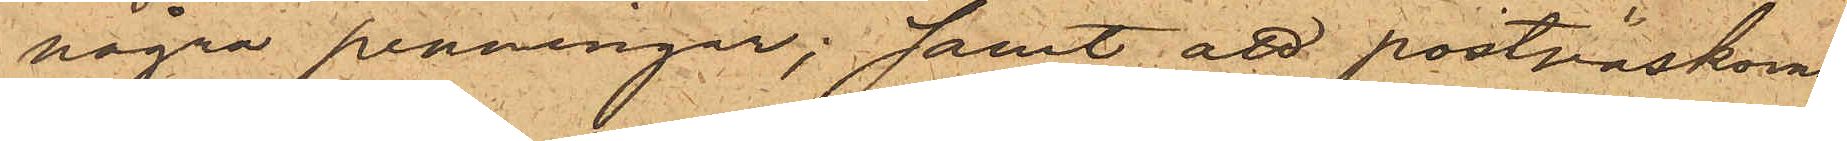några penningar; samt att postväskorna
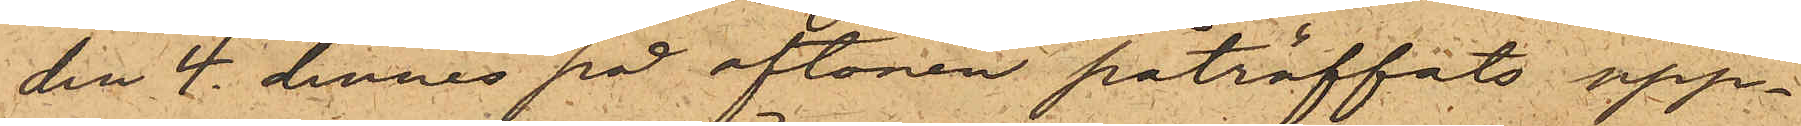den 4 dennes på aftonen påträffats upp¬
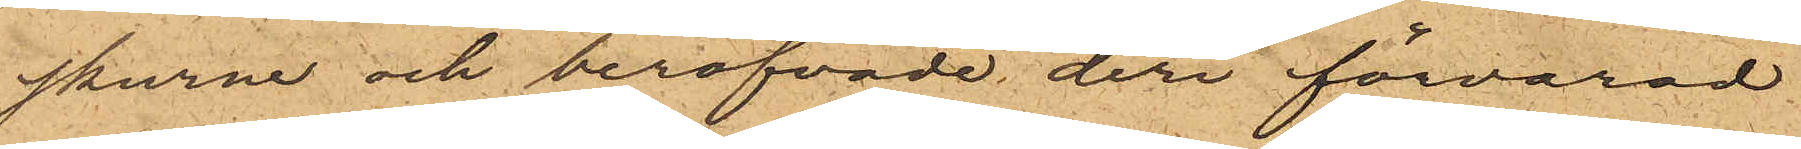skurne och beröfvade deri förvarad
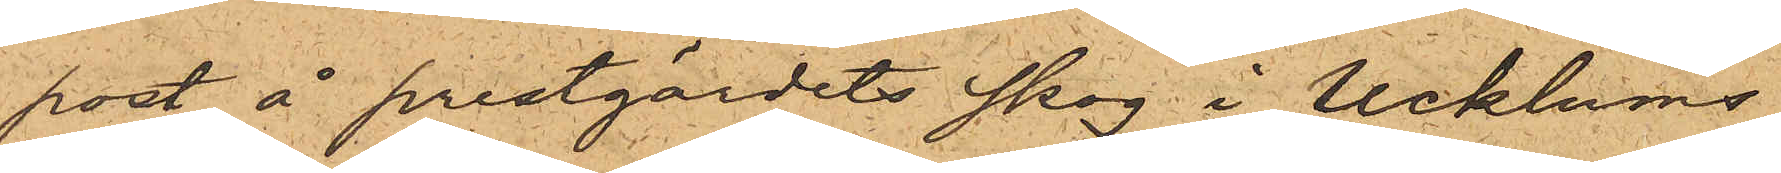post å prestgärdets skog i Ucklums
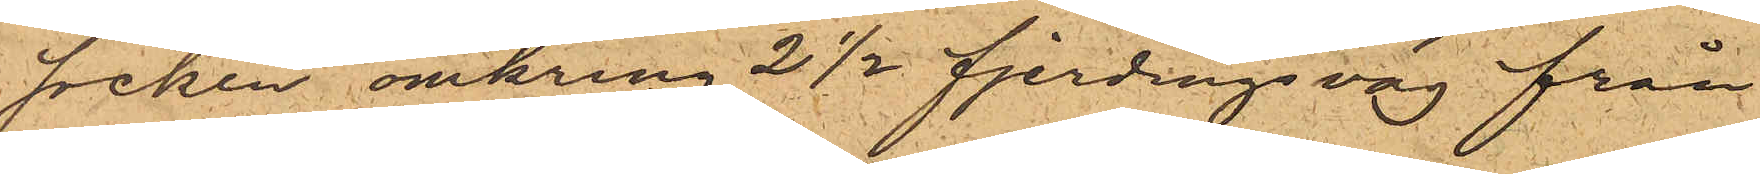socken omkring 2 ½ fjerdingsväg från
